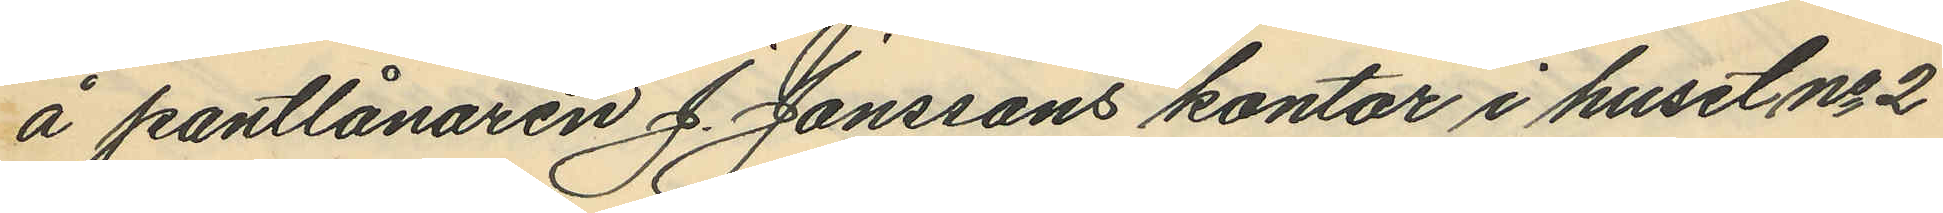å pantlånaren J. Jonssons kontor i huset No 2
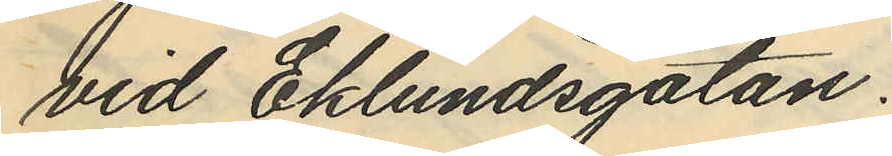vid Eklundsgatan.
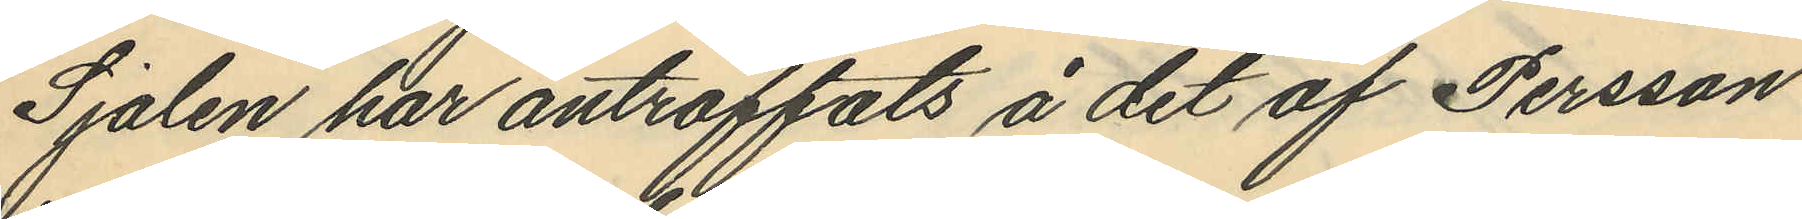Sjalen har anträffats å det af Persson
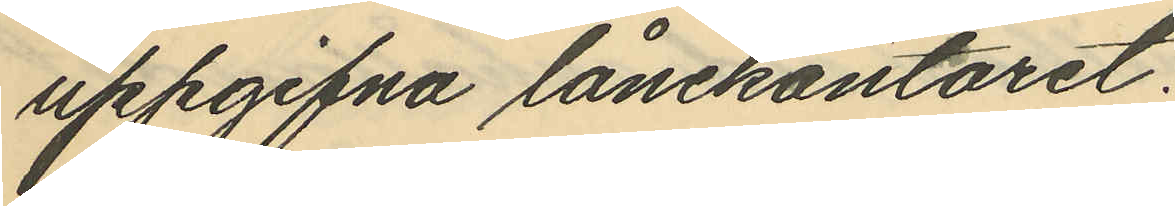uppgifna lånekontoret;
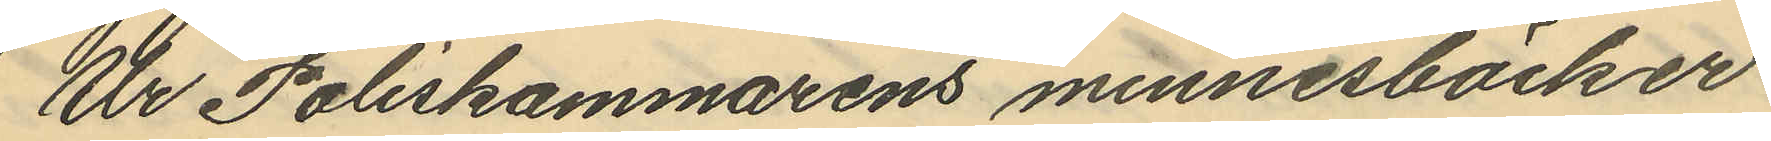Ur Poliskammarens minnesböcker
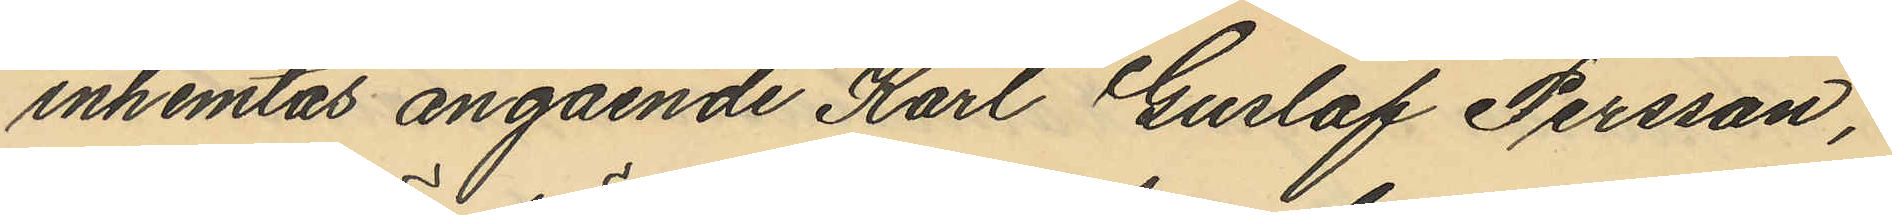inhemtas angående Karl Gustaf Persson,
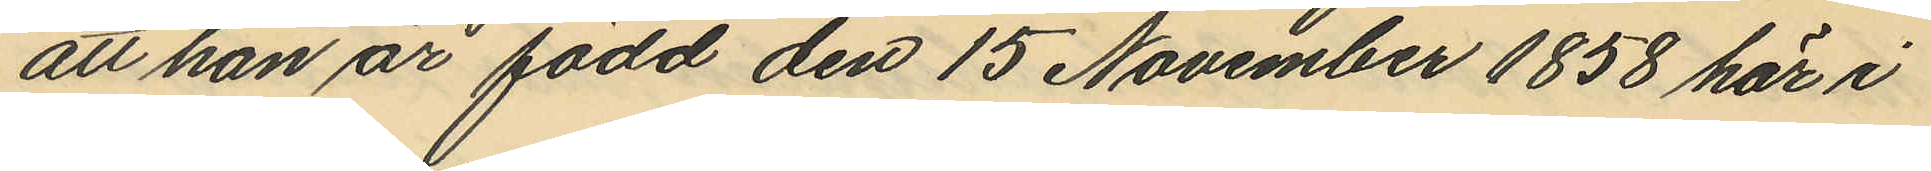att han är född den 15 November 1858 här i
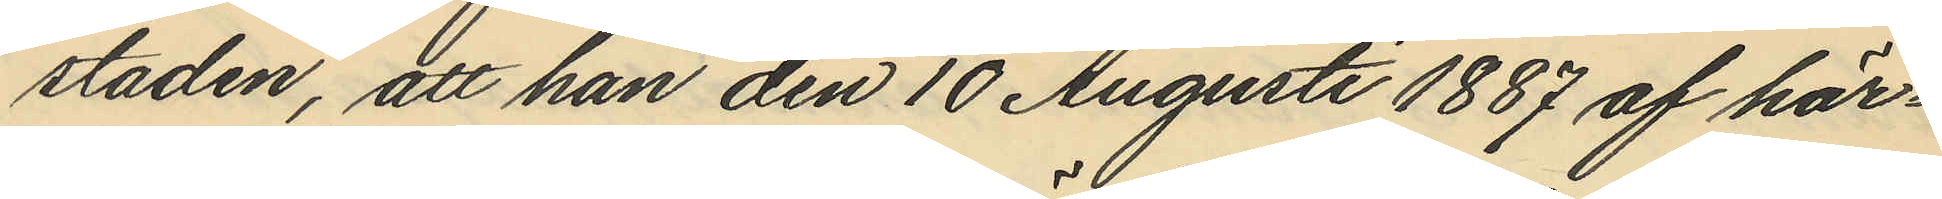staden, att han den 10 Augusti 1887 af här¬
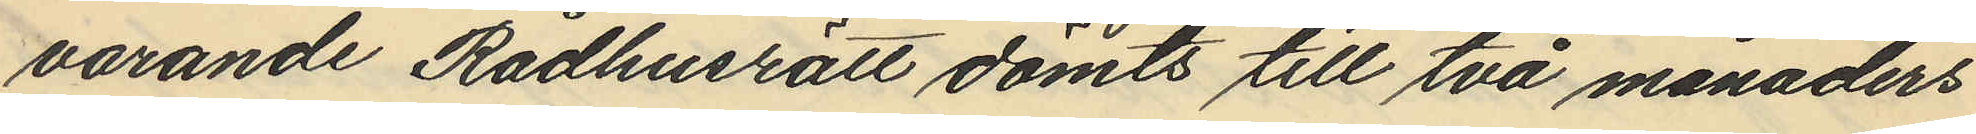varande Rådhusrätt dömts till två månaders
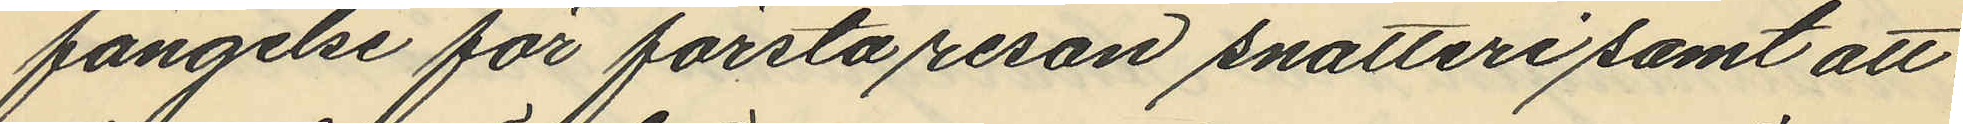fängelse för första resan snatteri samt att
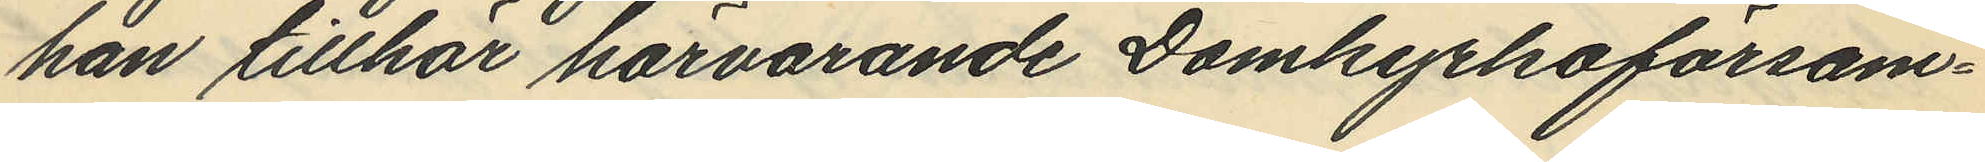han tillhör härvarande Domkyrkoförsam¬
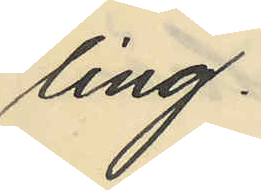ling.
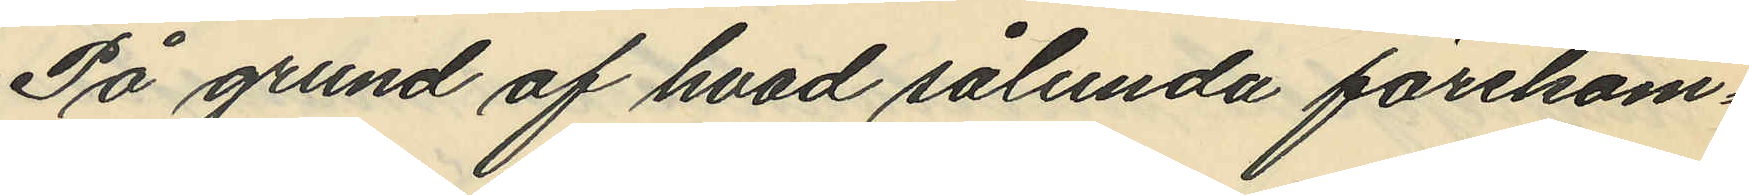På grund af hvad sålunda förekom¬
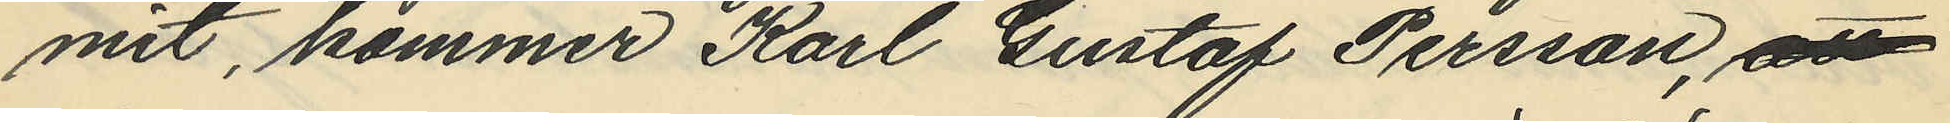mit, kommer Karl Gustaf Persson, att
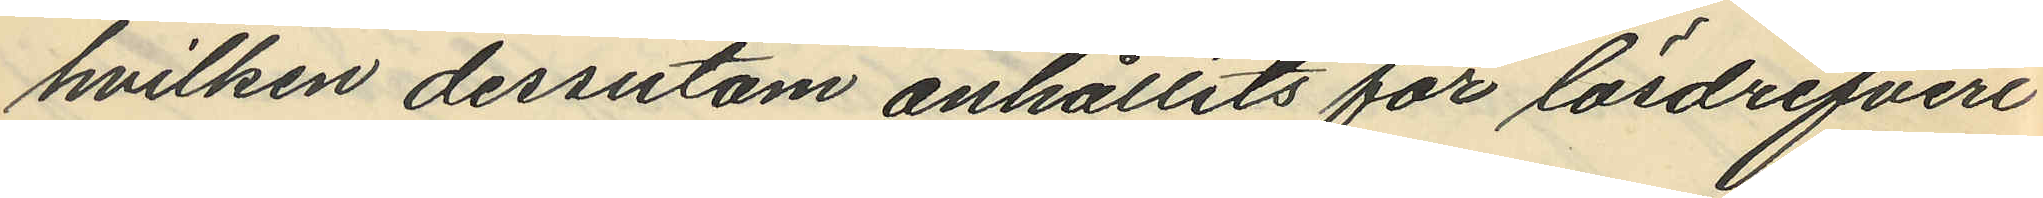hvilken dessutom anhållits för lösdrifveri
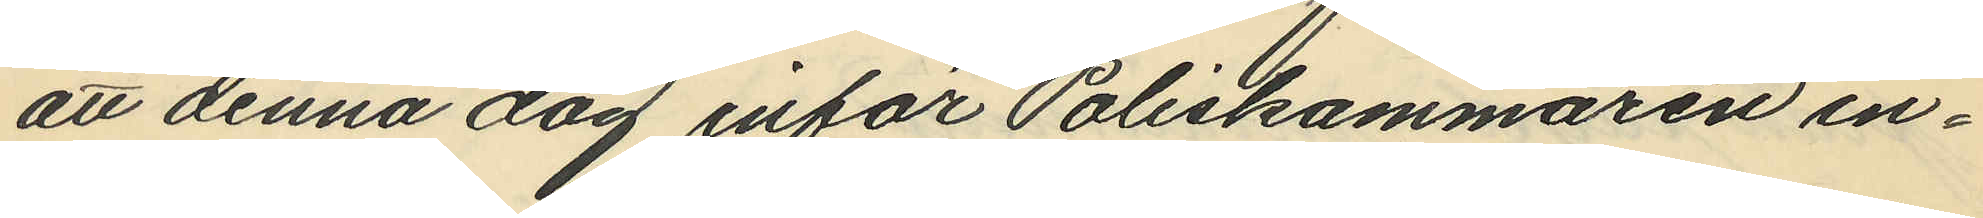att denna dag inför Poliskammaren in¬
